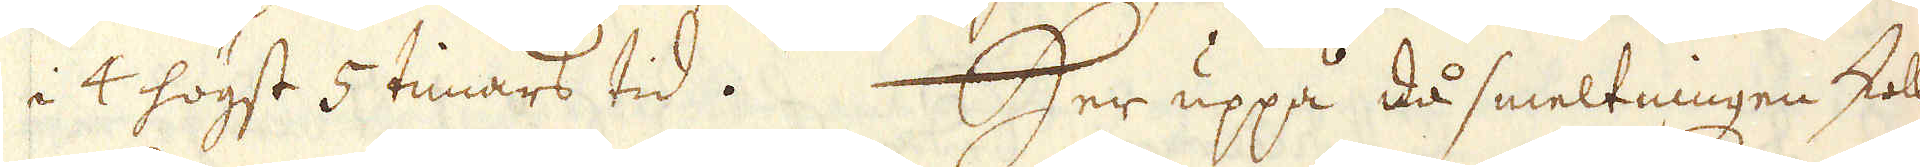i 4 högst 5 timars tid. Her uppå då smeltningen skall
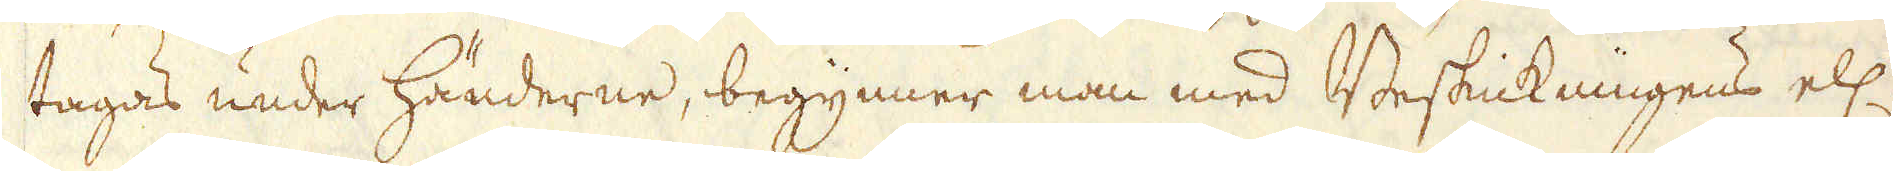tagas under händerne, begynner man med Beskickningens ell:
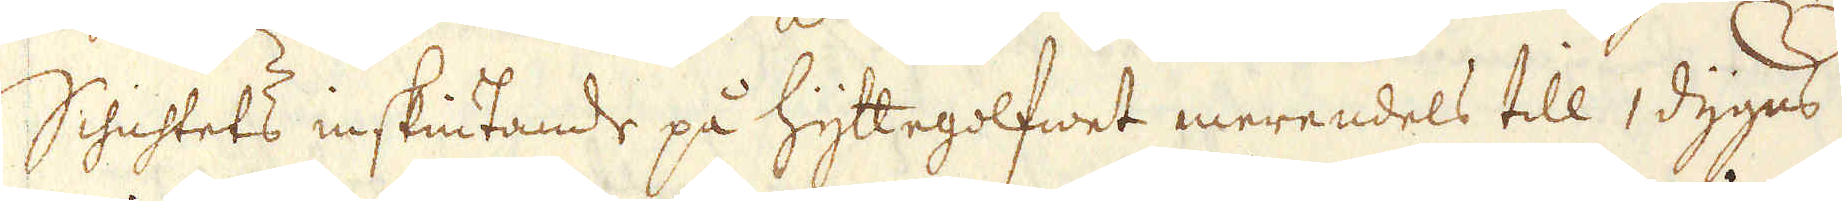Schichtets inskiutande på hyttegolfwet merendels till 1 dygns
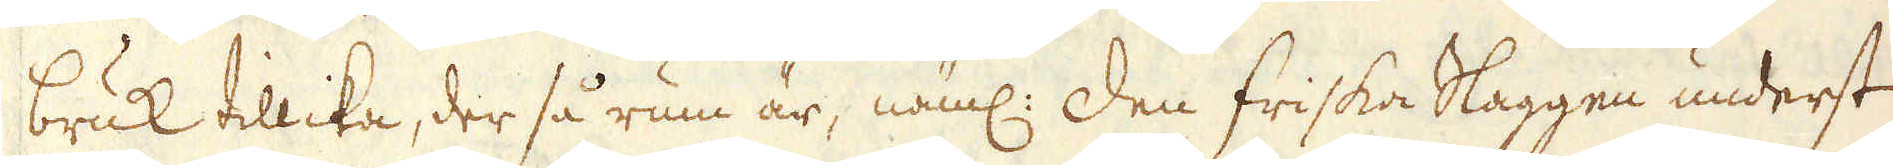bruk tillika, der så rum är, näml: Den friska Slaggen underst,
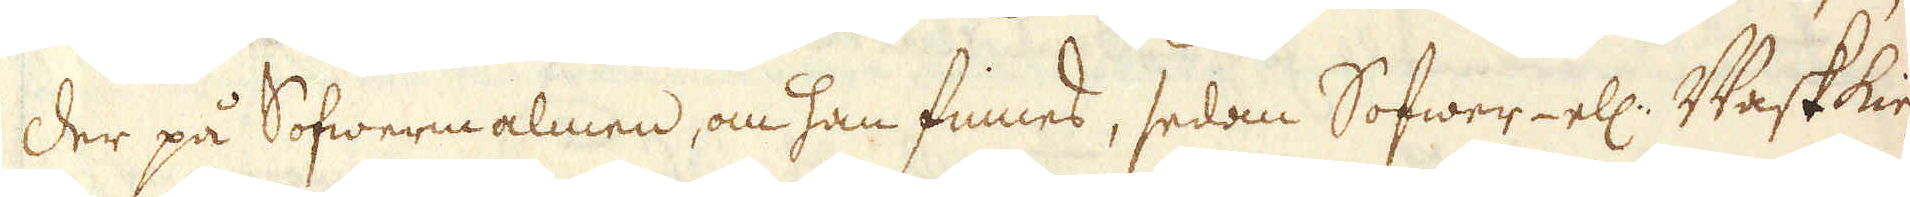Der på Sofwermalmen, om han finnes, sedan Sofwer- ell: Waskkie-
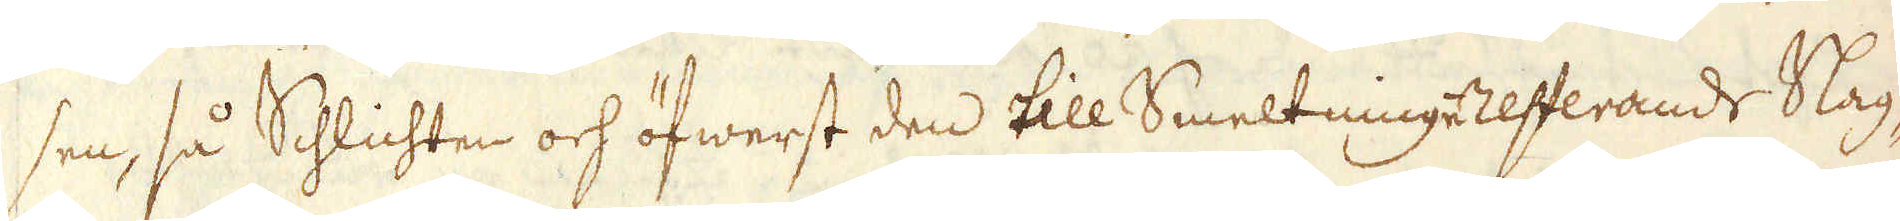sen, så Schlichten och öfwerst den till Smeltninge resterande Slag-
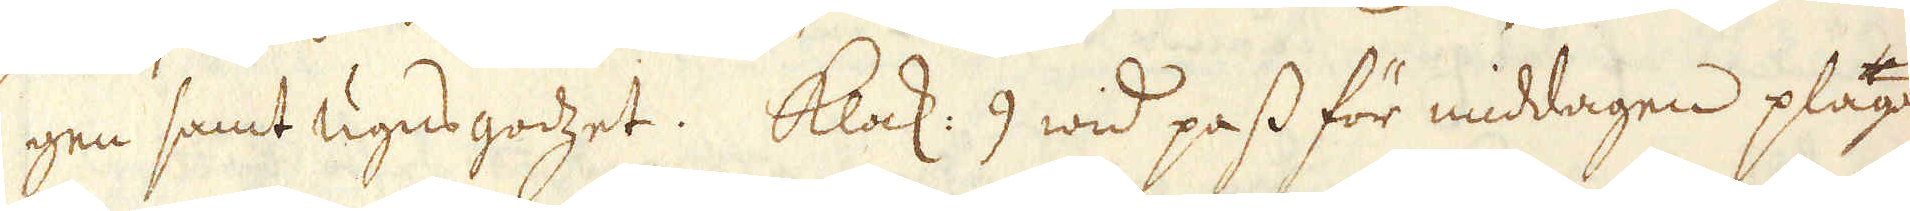gen samt ugnsgodzet. Klock: 9 wid pass för middagen plägar
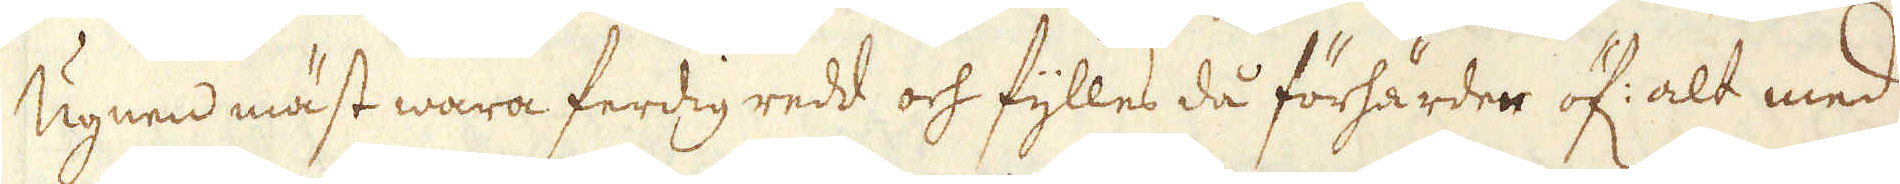Ugnen mäst wara ferdig redd och fylles då förhärder öf: alt med
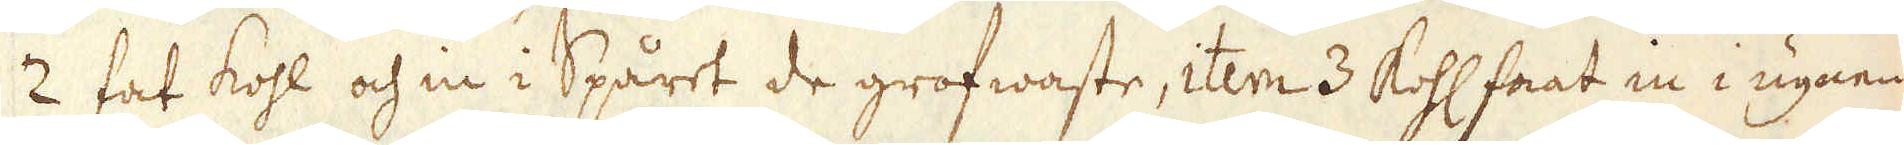2 fat kohl och in i Spåret de grofwaste, item 3 Kohl faat in i ugnen
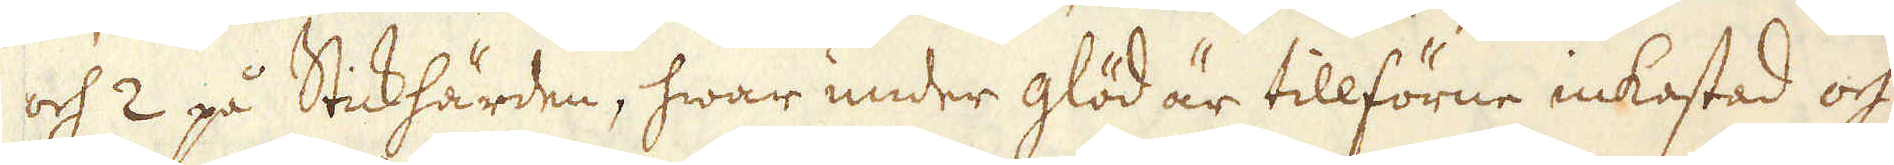och 2 på Stickhärden, hwar under glöd är tillförne inkastad och
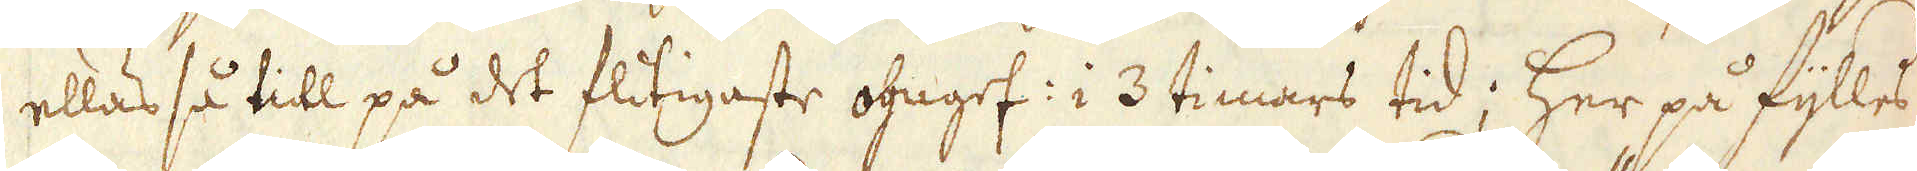ellas så till på det flitigaste ogngef: i 3 timars tid; Her på fylles
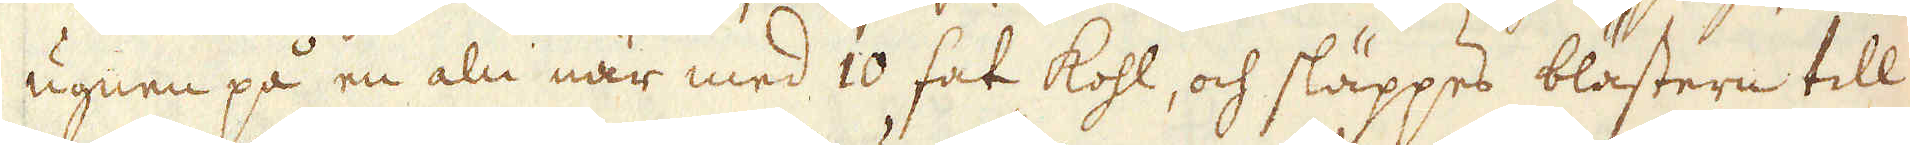ugnen på en aln när med 10 fat kohl, och släppes blästern till
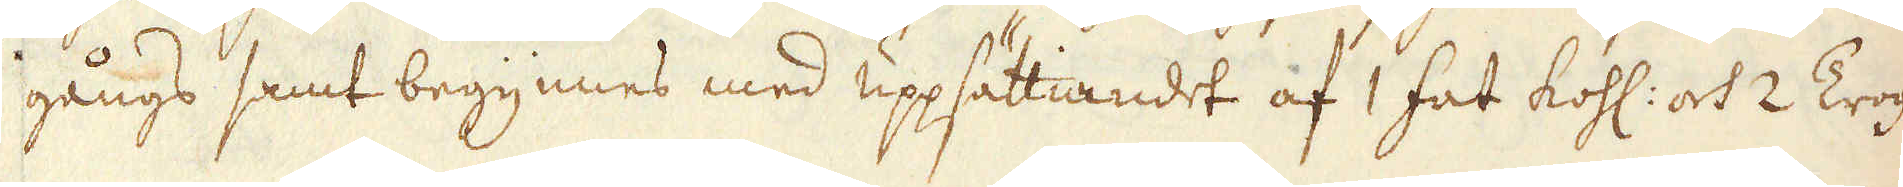gångs samt begynnes med uppsättiandet af 1 fat kohl: och 2 Trog
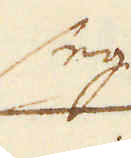seg
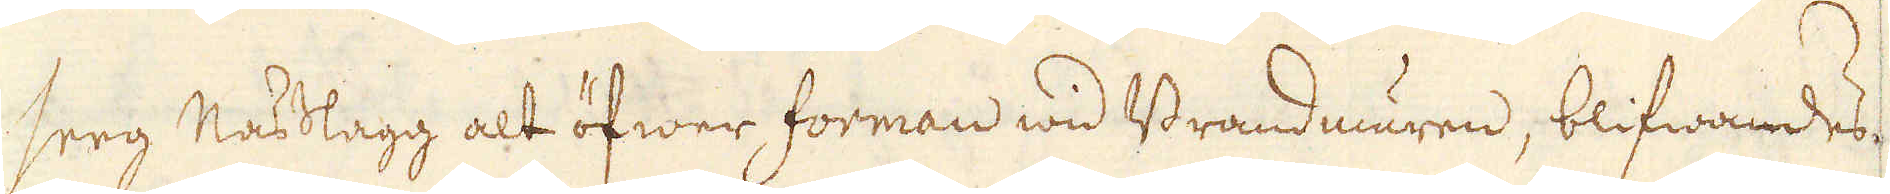seeg Nasslagg alt öfwer forman wid Brandmuren, blifwandes
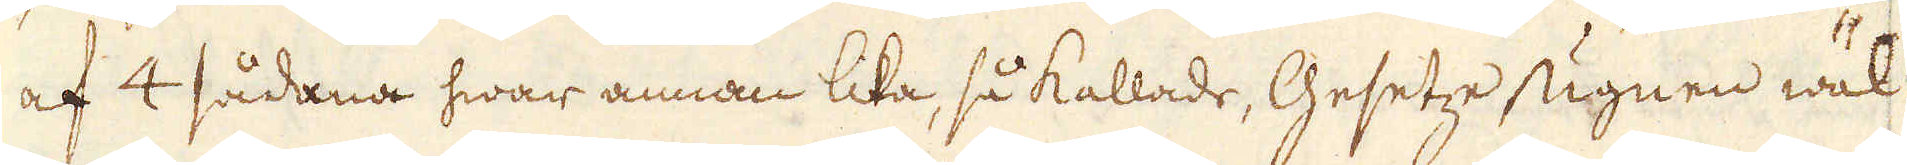af 4 sådana hwar annan lika, så kallade, Gesetze ugnen wäl
